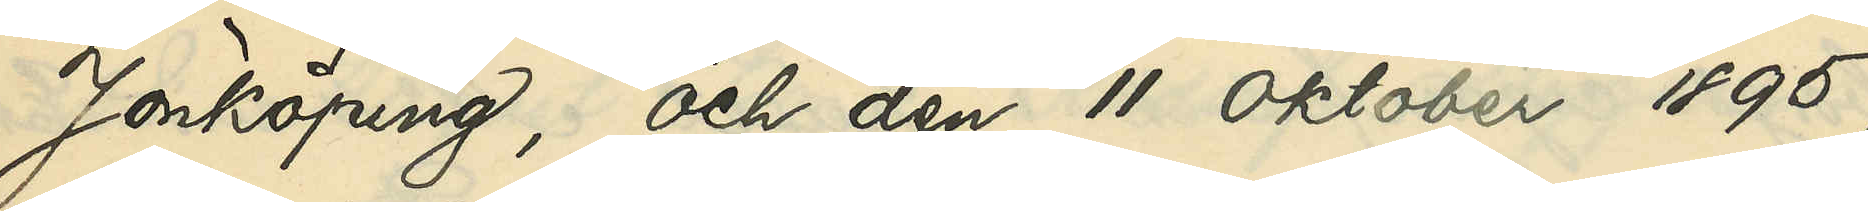Jönköping, och den 11 Oktober 1895,
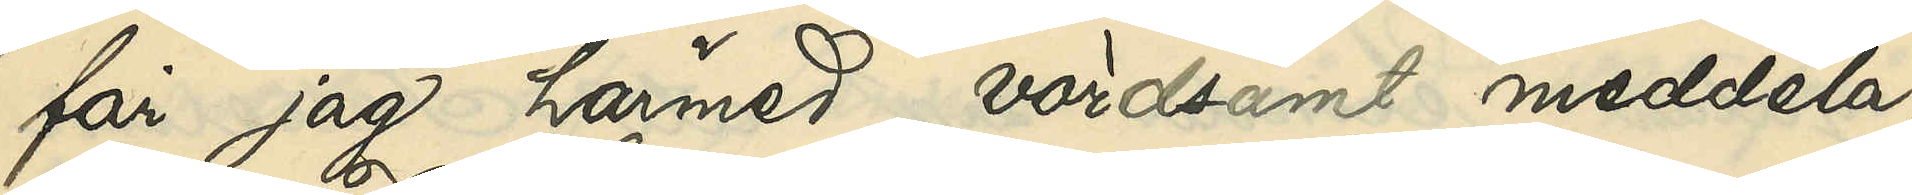får jag härmed vördsamt meddela,
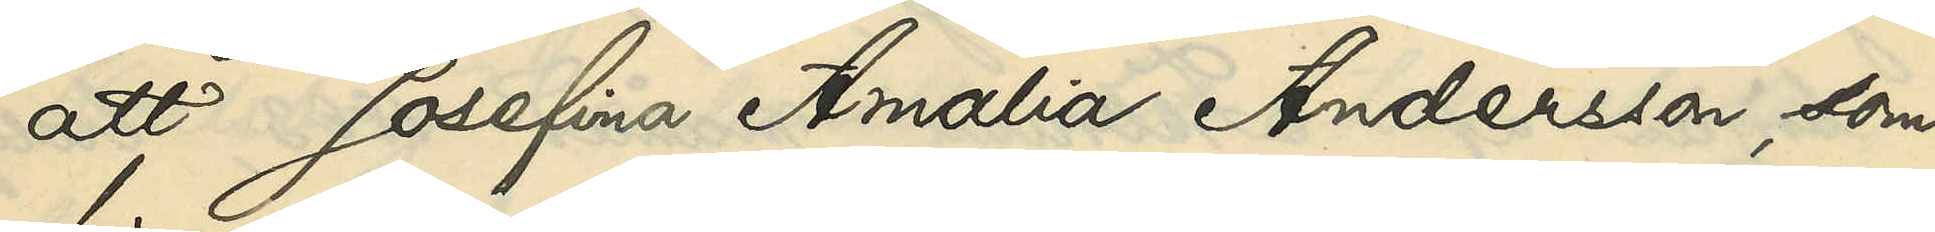att Josefina Amalia Andersson, som
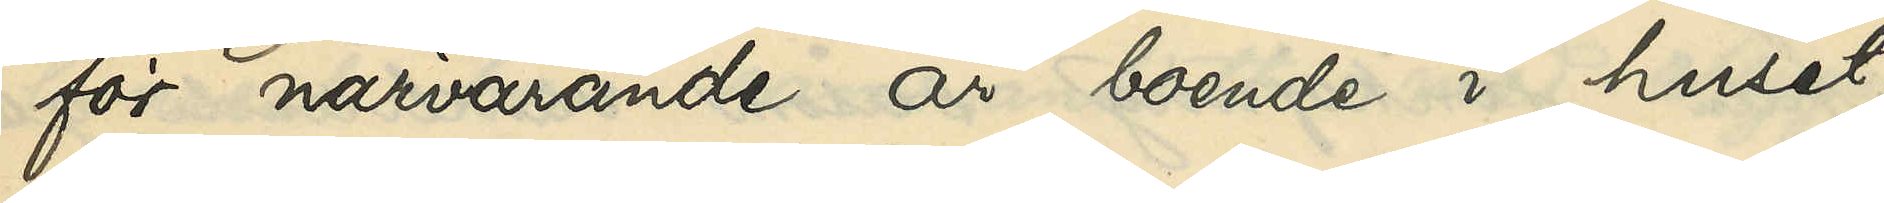för närvarande är boende i huset
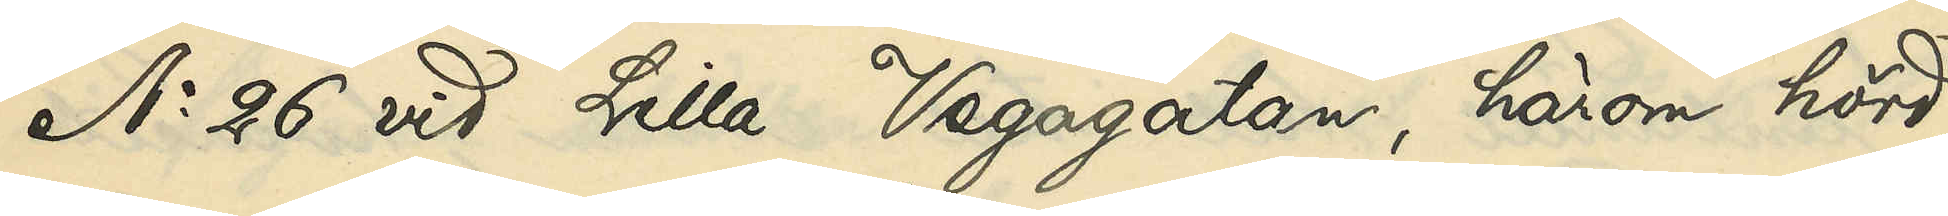No 26 vid Lilla Vegagatan, härom hörd,
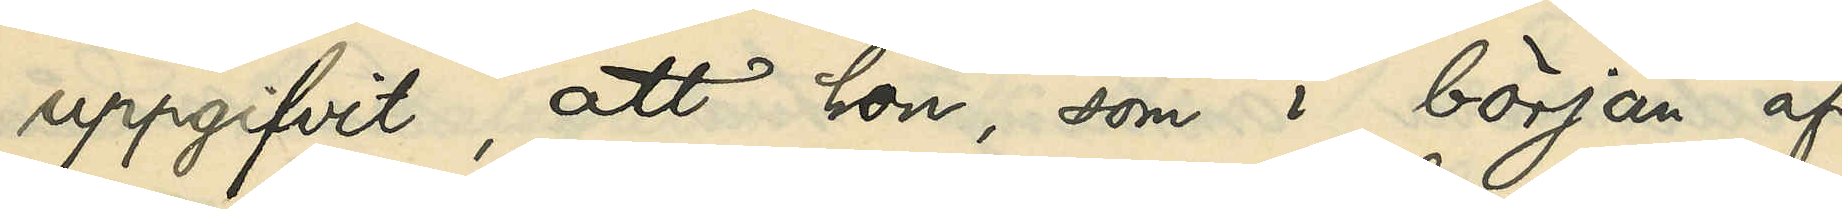uppgifvit, att hon, som i början af
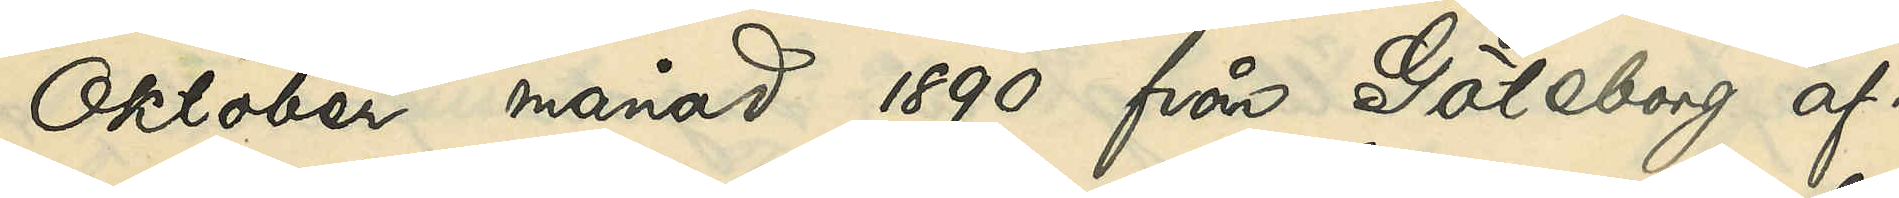Oktober månad 1890 från Göteborg af¬
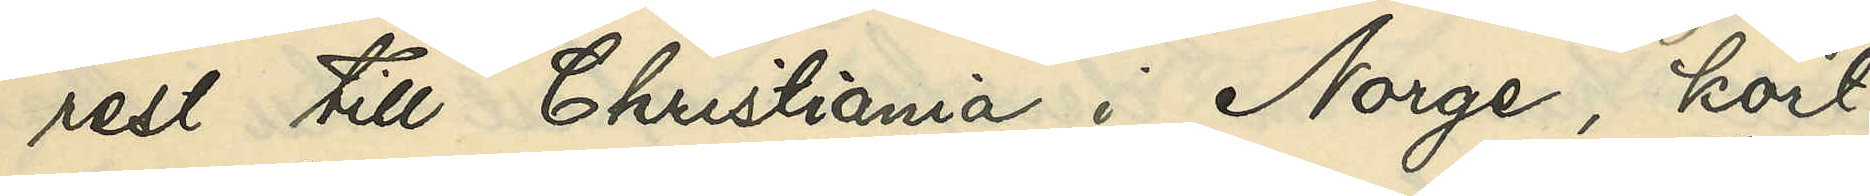rest till Christiania i Norge, kort
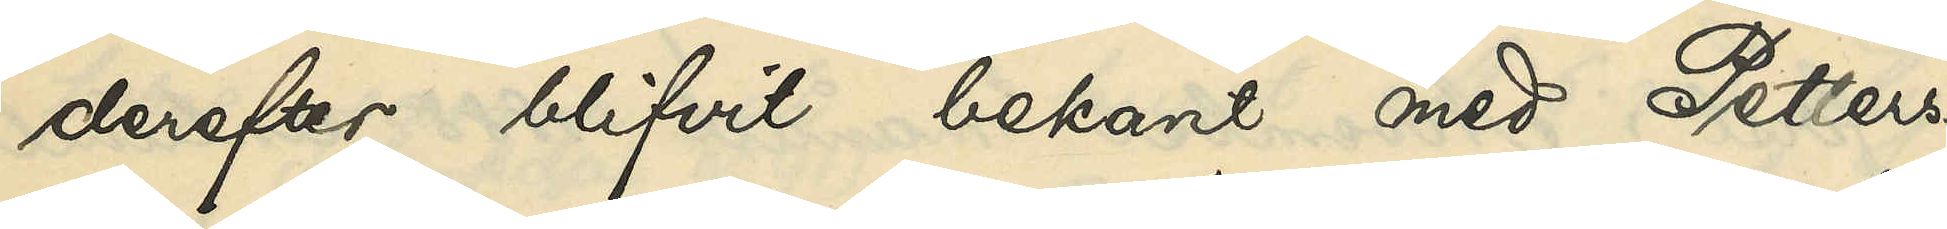derefter blifvit bekant med Petters¬
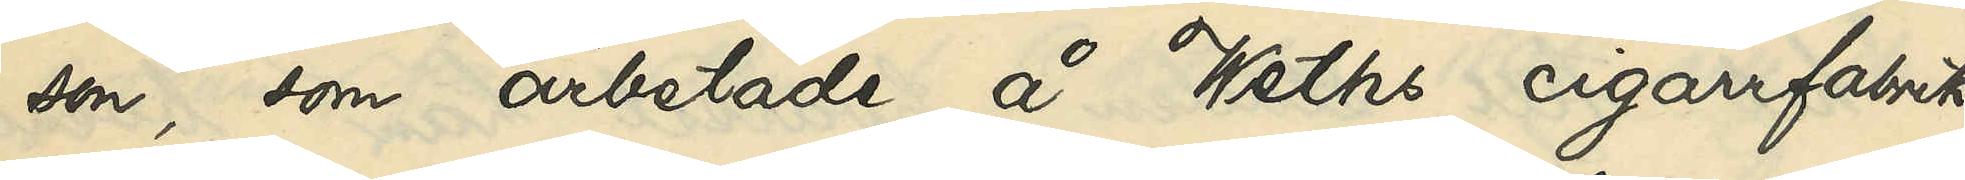son, som arbetade å Weths cigarrfabrik
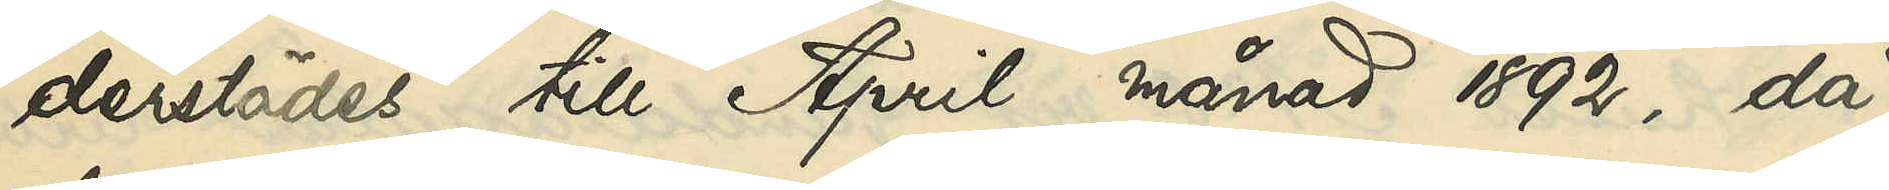derstädes till April månad 1892, då
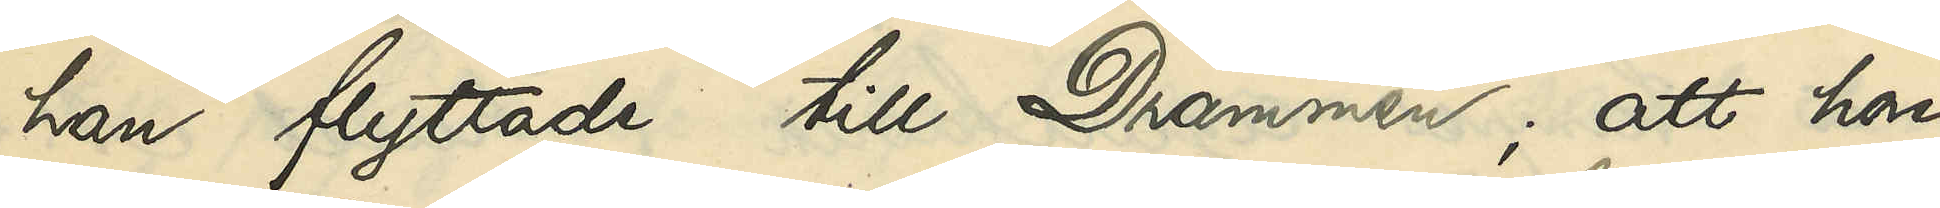han flyttade till Drammen; att hon
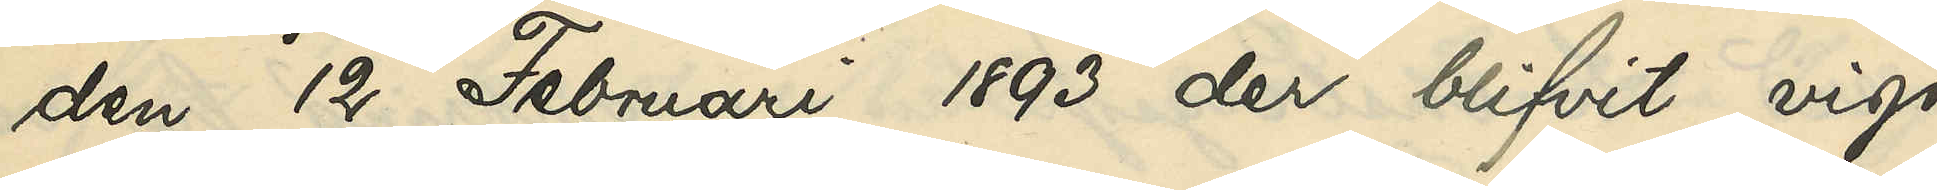den 12 Februari 1893 der blifvit vigd
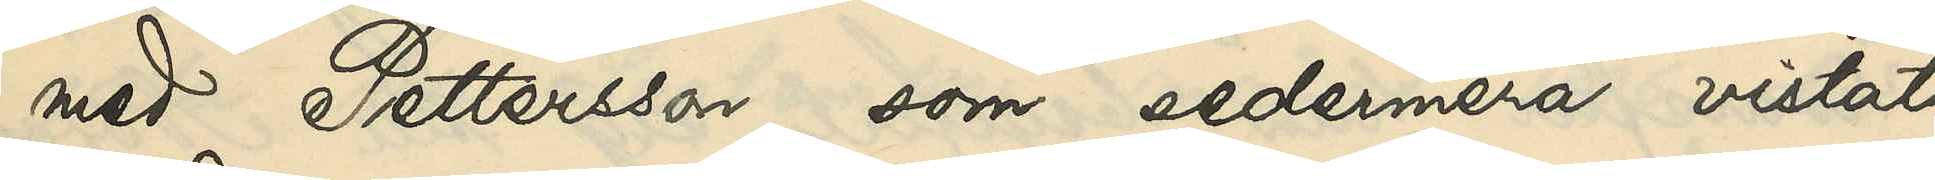med Pettersson, som sedermera vistats
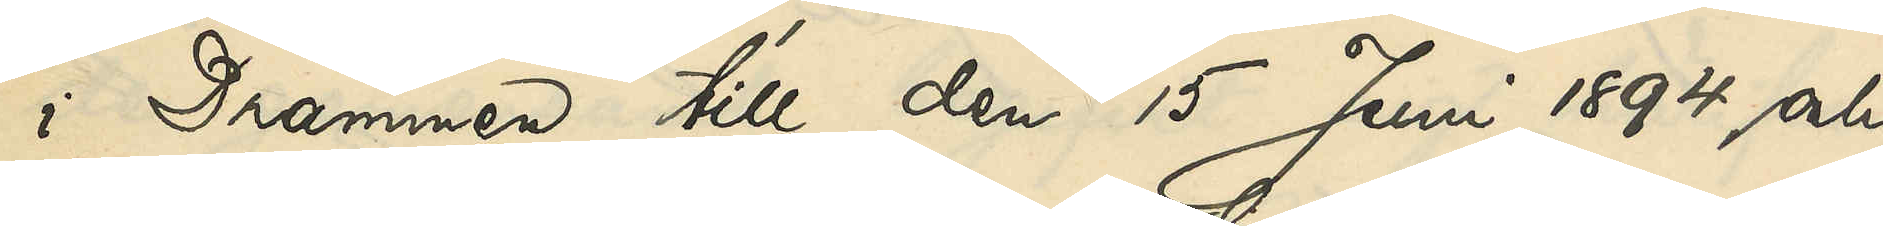i Drammen till den 15 Juni 1894 och
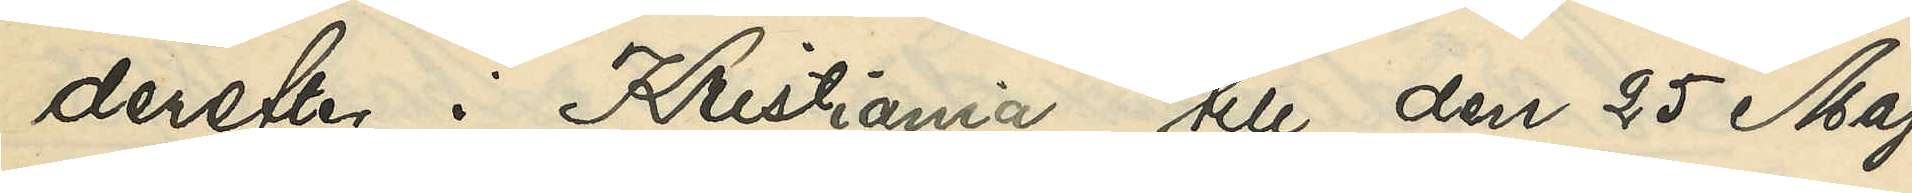derefter i Kristiania till den 25 Maj
